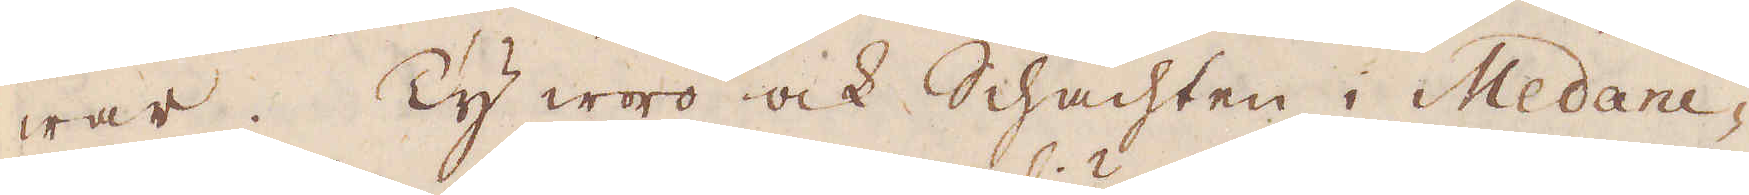war. Ty woro ock Schachten i Medani-
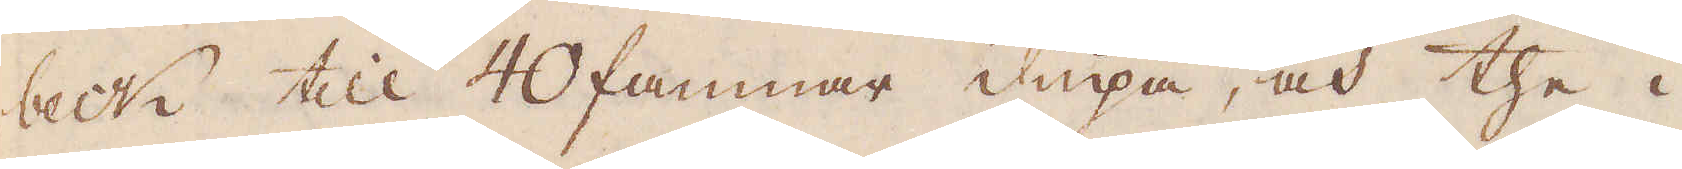beck till 40 famnar diupa, och the i
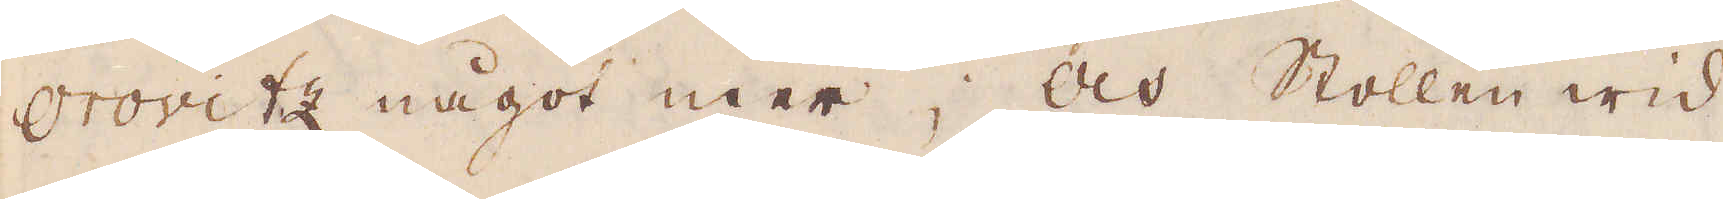Orovitz något mer; Och Stollen wid
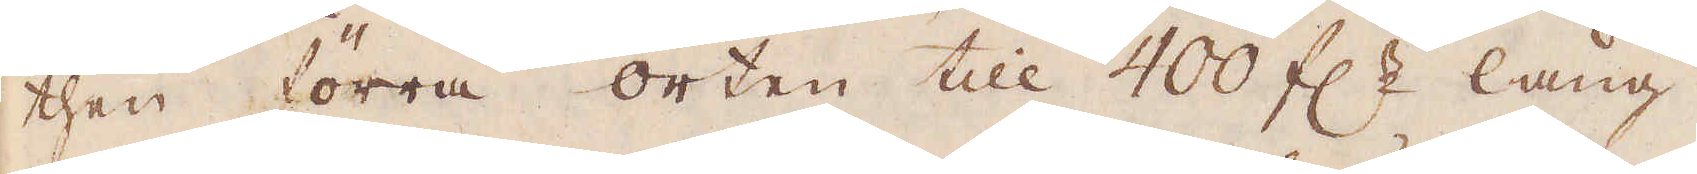then förra orten till 400 f:r lång.
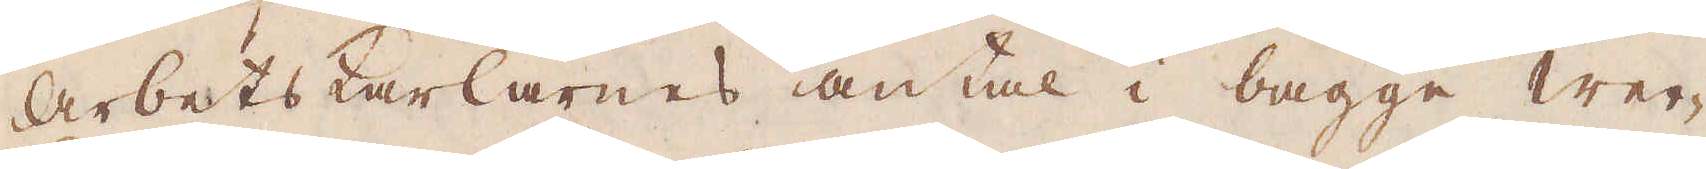Arbetskarlarnes antal i bägge wer-
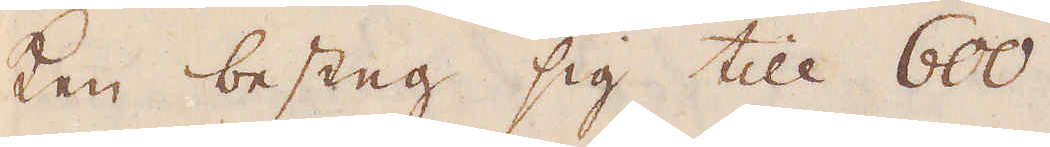ken besteg sig till 600.
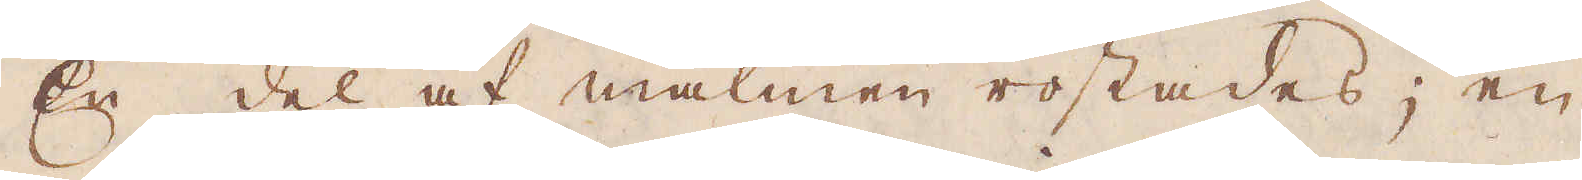En del af malmen rostades; en
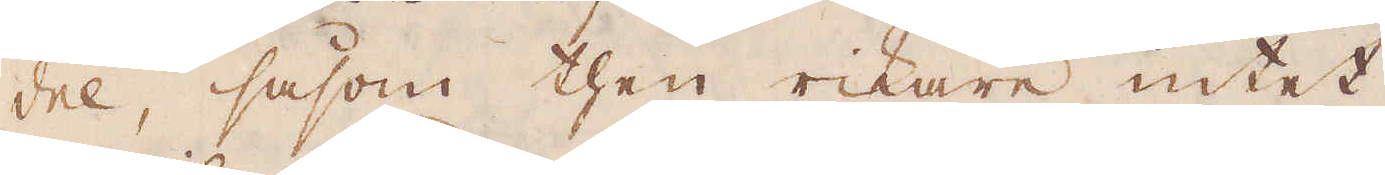del, såsom then rikare intet.
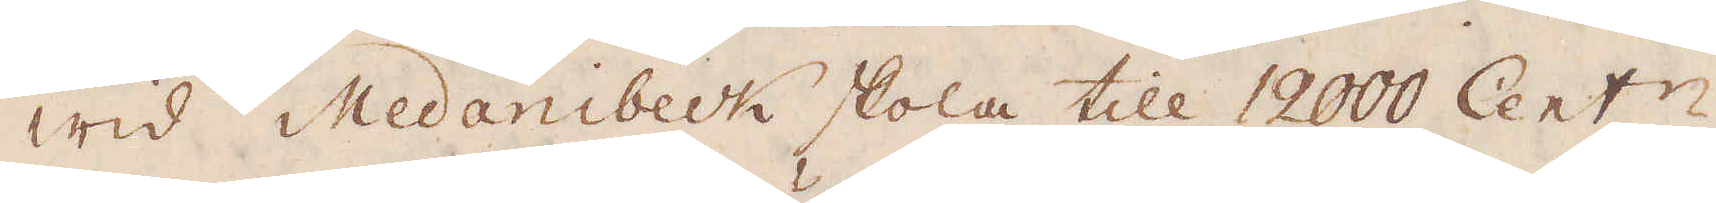Wid Medanibeck skola till 12000 Cent:r
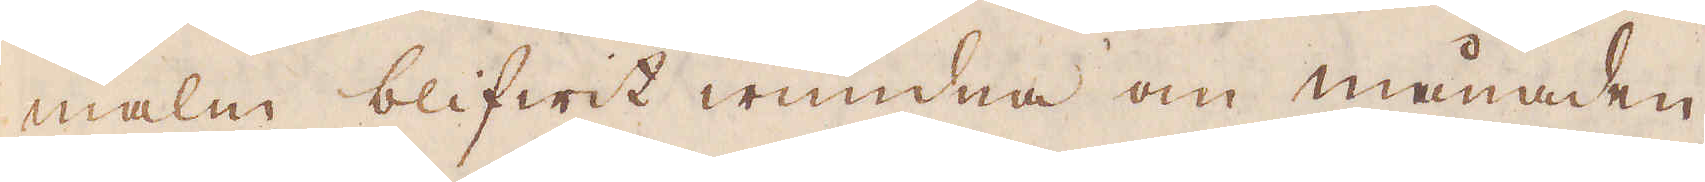malm blifwit wundna om månaden,
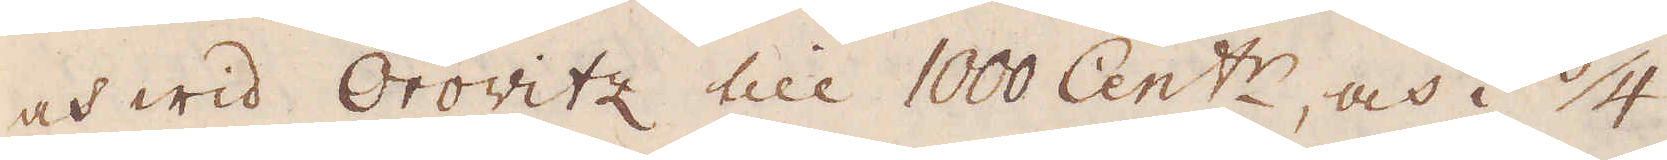och wid Orowitz till 1000 Cent:r, och i 3/4
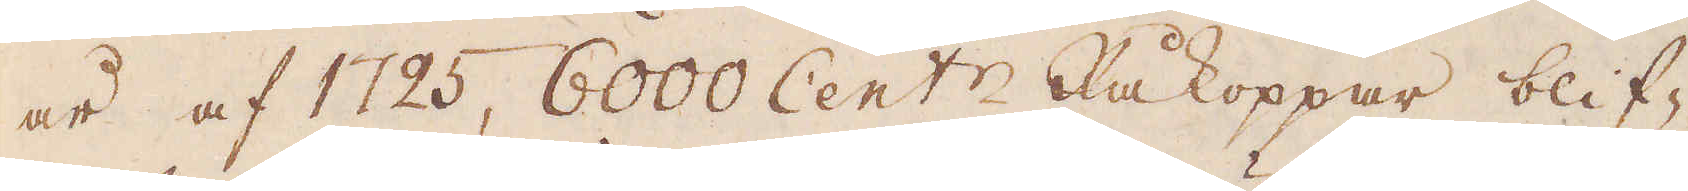år af 1725, 6000 Cent:r Råkoppar blif-
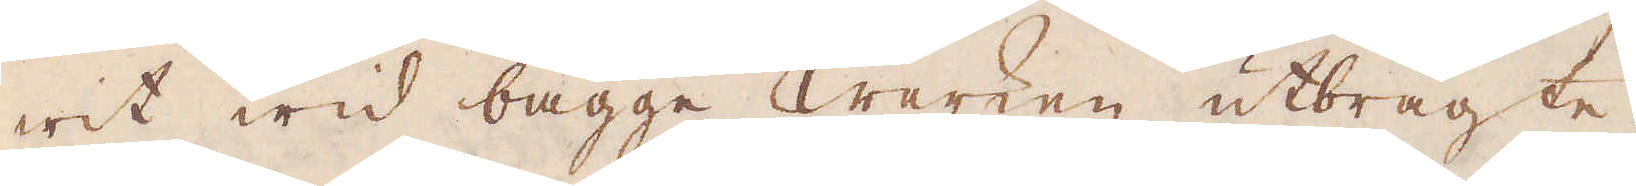wit wid bägge Werken utbragte,
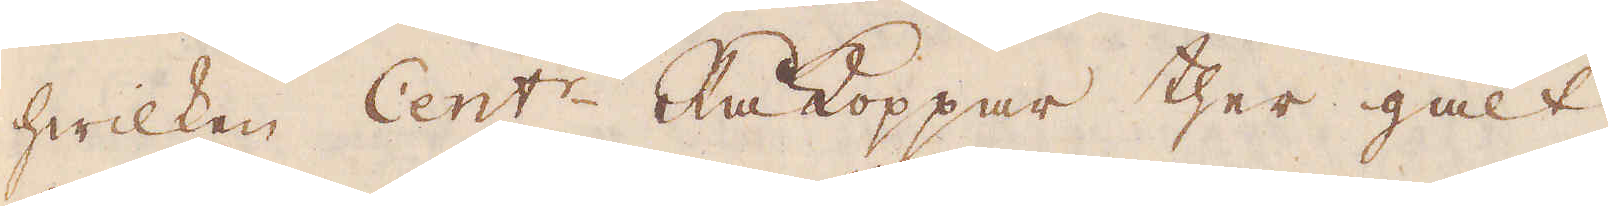hwilken Cent:r Rå Koppar ther galt
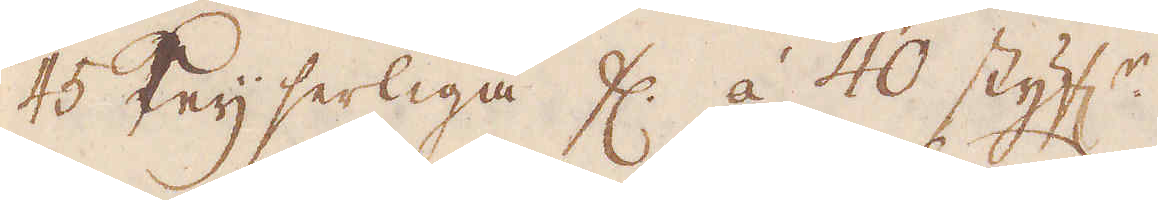45 Keijserliga fl. à 40 styf:r.
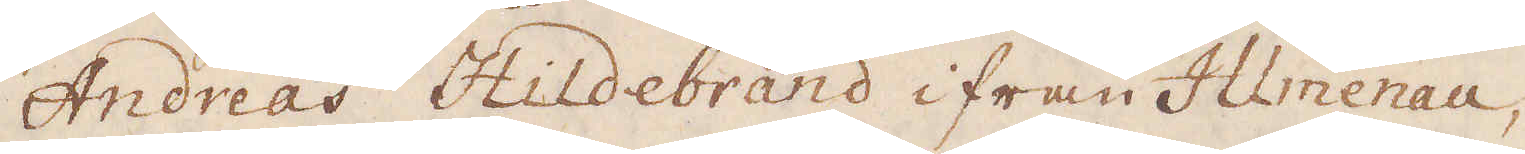Andreas Hildebrand ifrån Illmenau,
